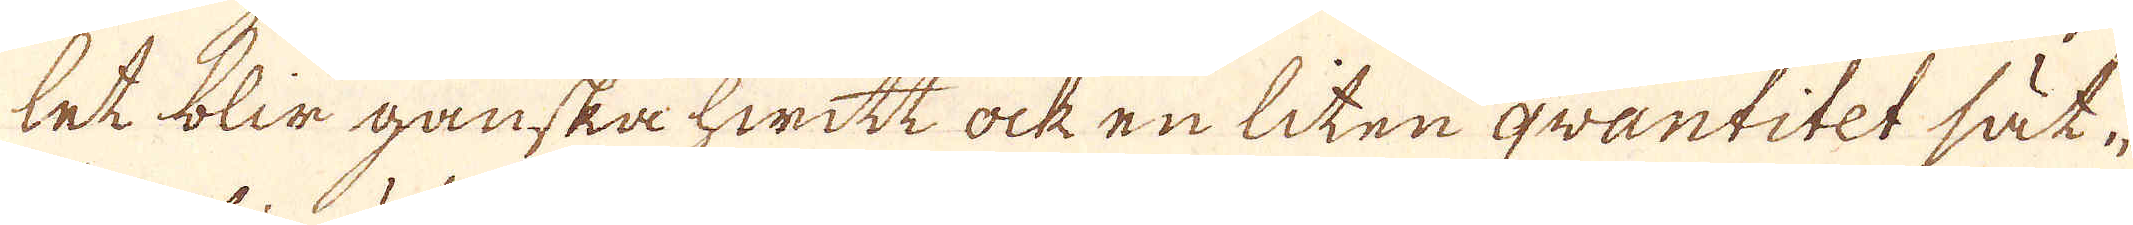tet blir ganska hwitt ock en liten qvantitet sät-
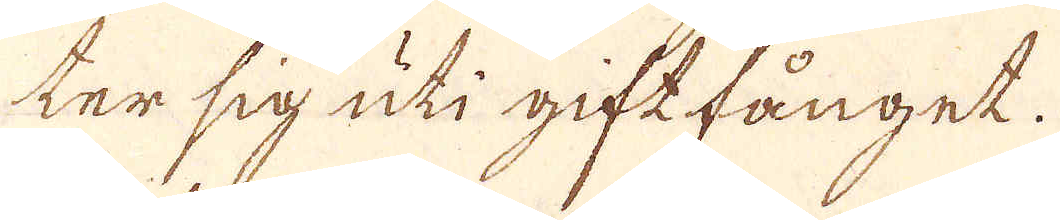ter sig uti giftfånget.
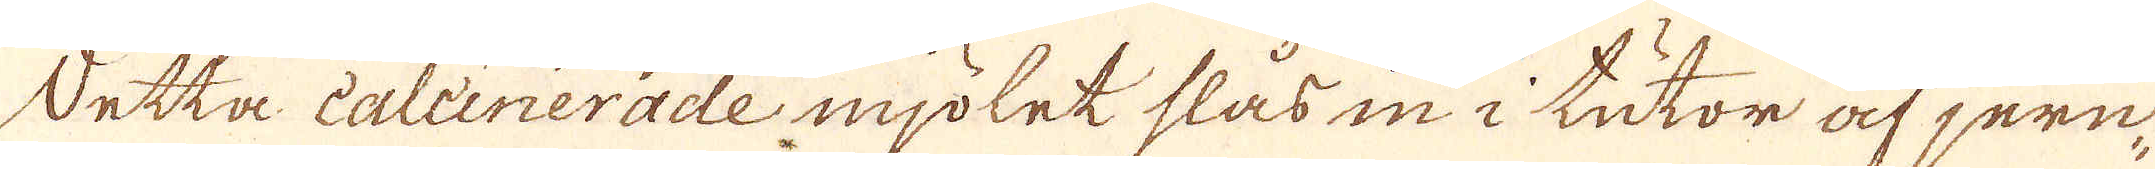Detta caleinerade mjölet slås in i tutor af jern,
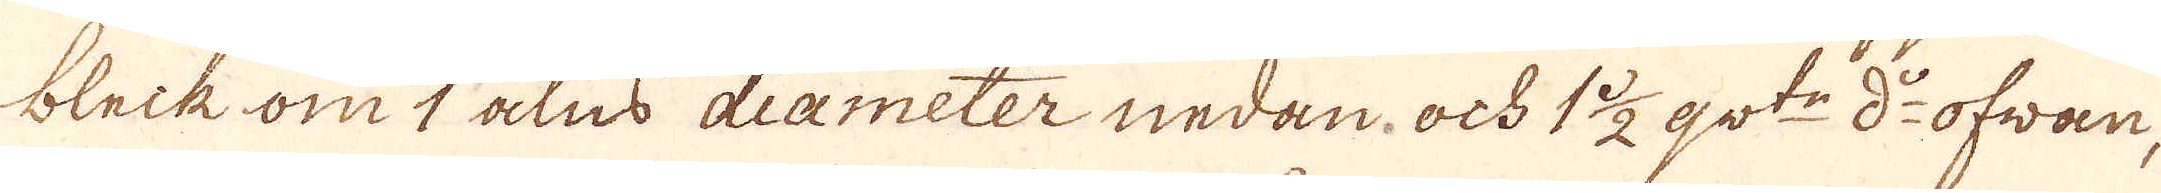bleik om 1 alns diameter nedan ock 1 1/2 qw:tr d:o ofwan,
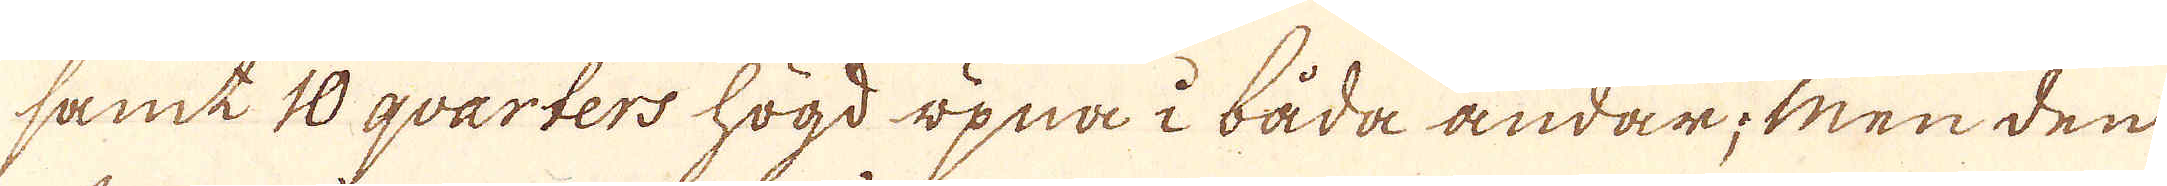samt 10 qvarters högd öpna i båda ändar; men den
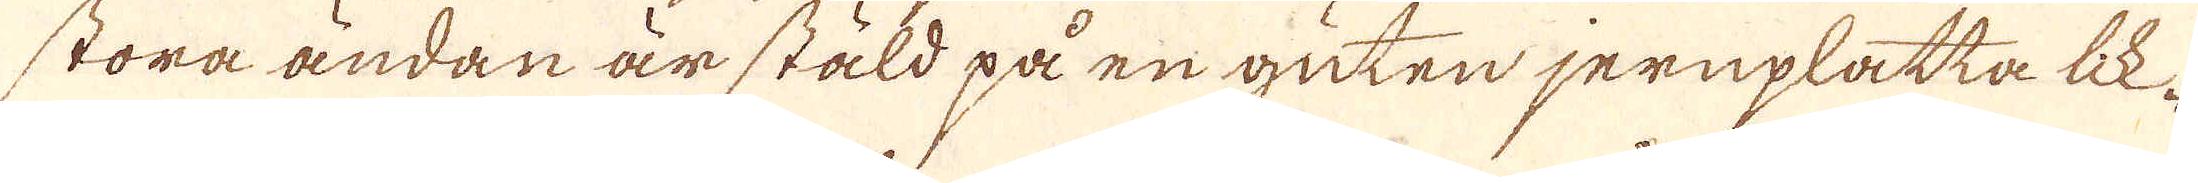stora ändan är stäld på en guten jernplatta lik-
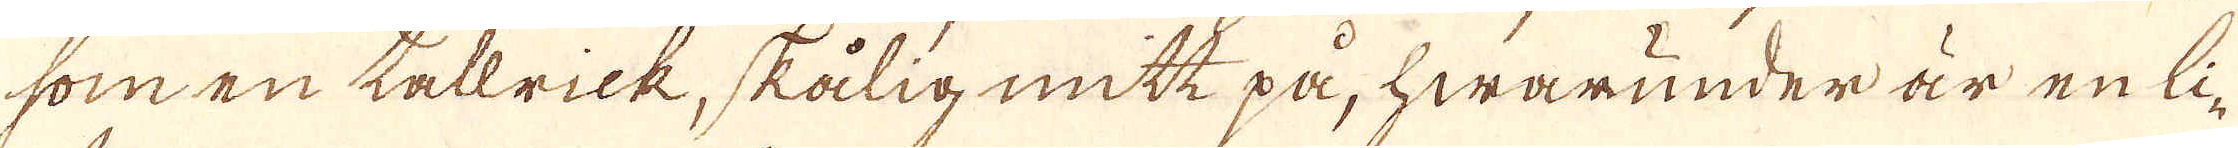som en tallrick, skålig mitt på, hwarunder är en li-
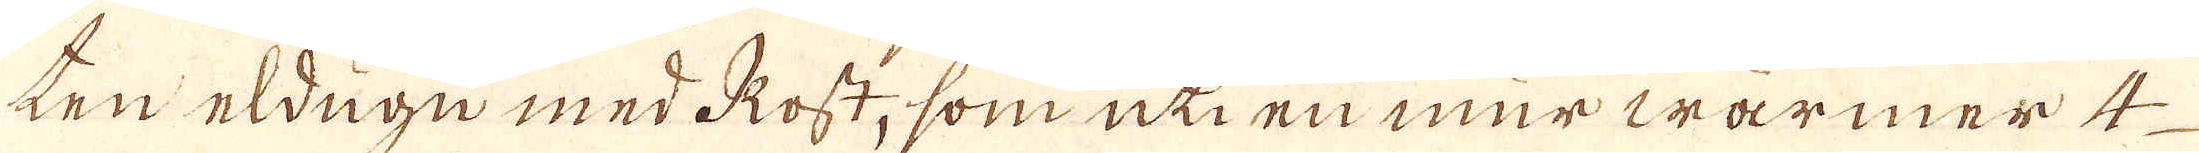ten eldugn med Rost, som uti en mur warmer 4
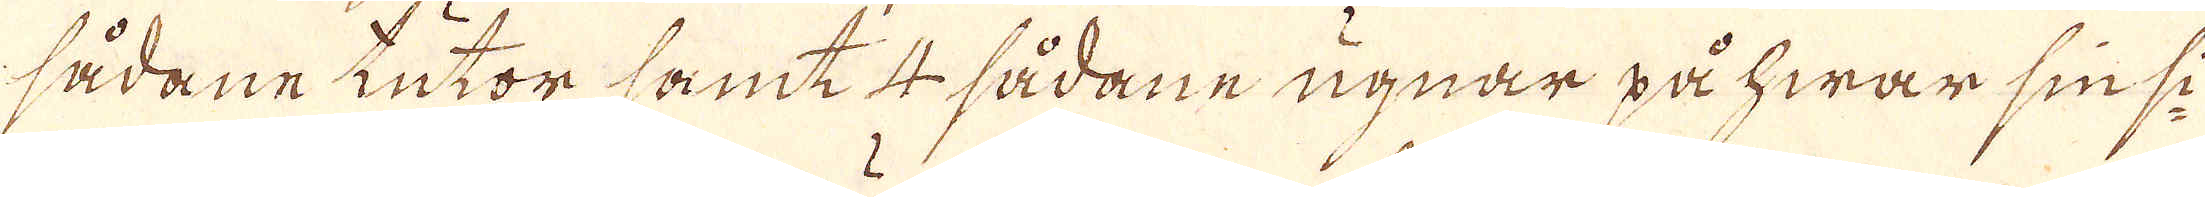sådane kutor samt 4 sådane ugnar på hwar sin si-
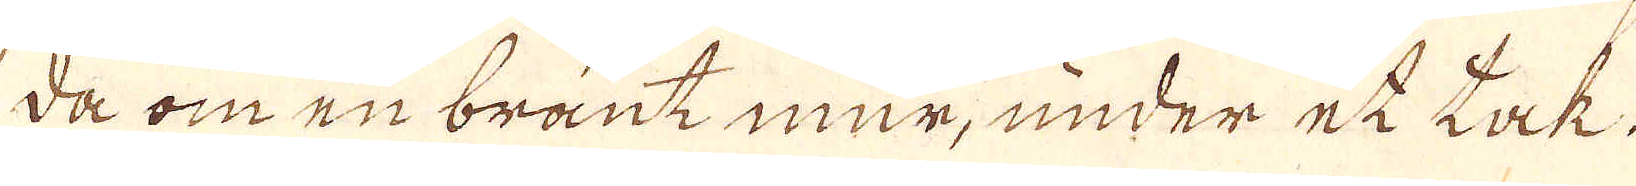da om en brant mur, under et tak.
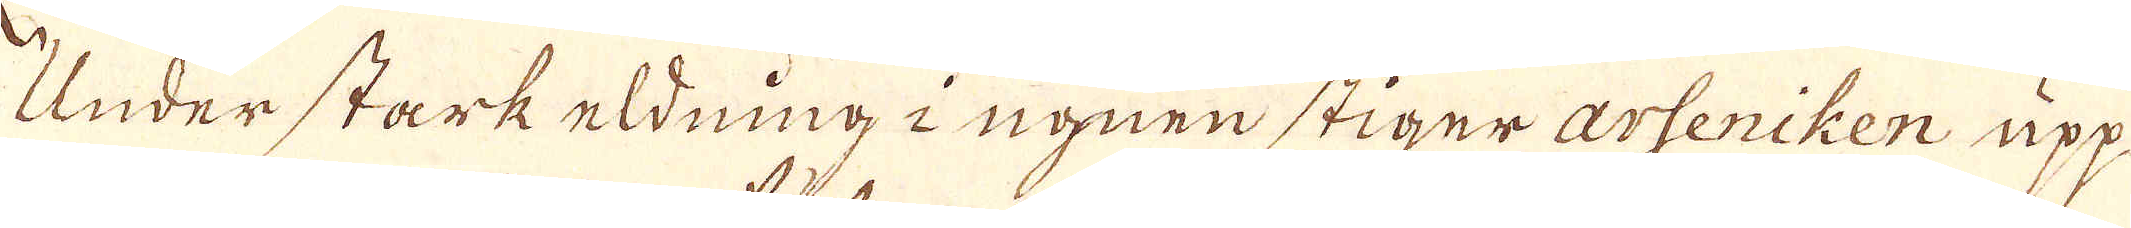Under stark eldning i ugnen stiger arseniken upp
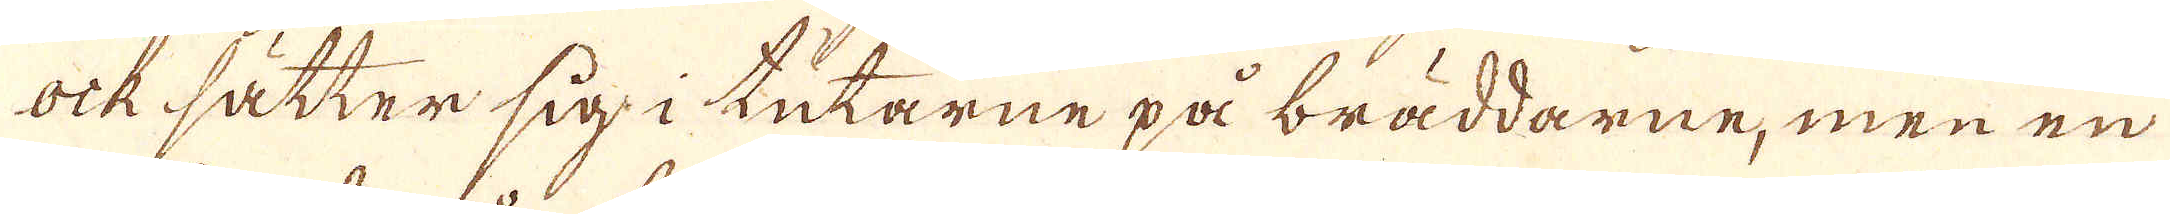ock sätter sig i tutarne på bräddarne, men en
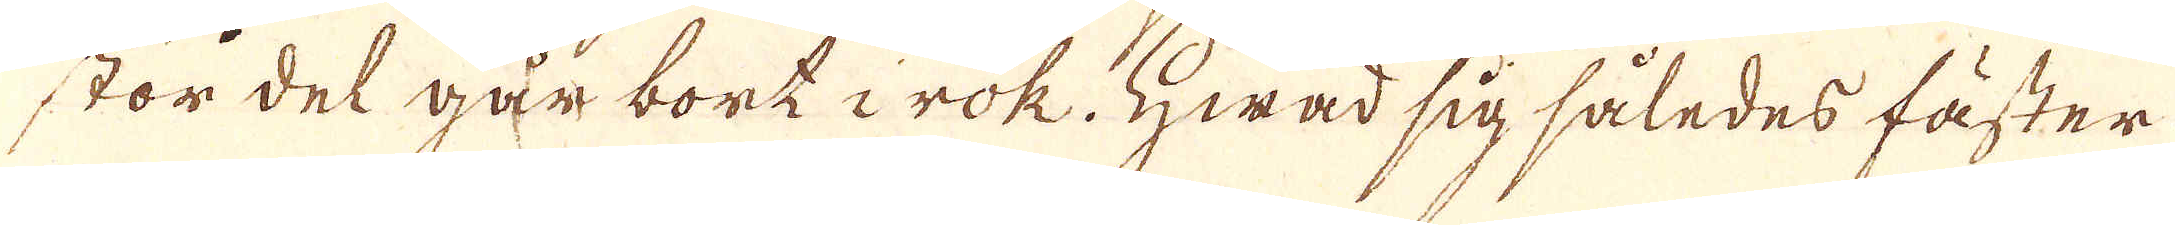stor del går bort i rök. Hwad sig således fäster
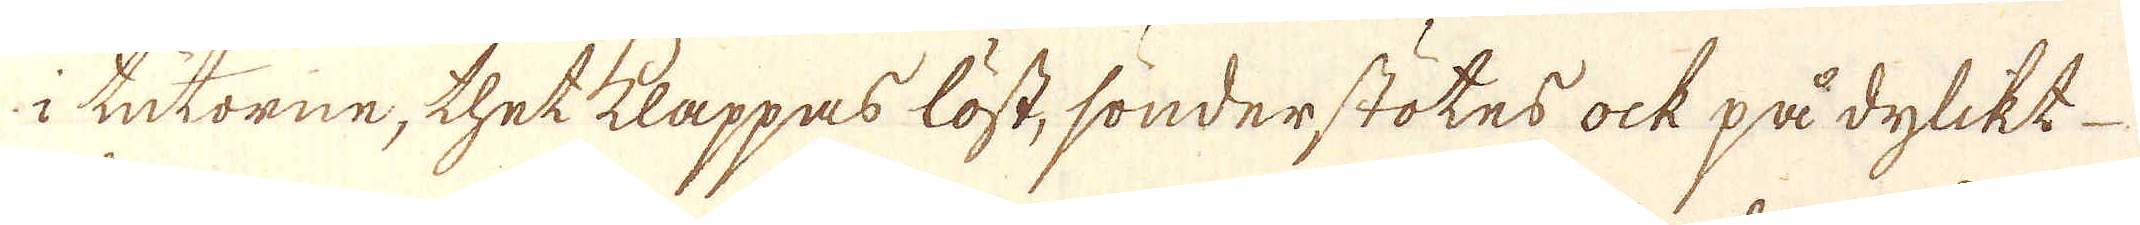i tukorne, thet klappas löst, sönderstötes ock på dylikt
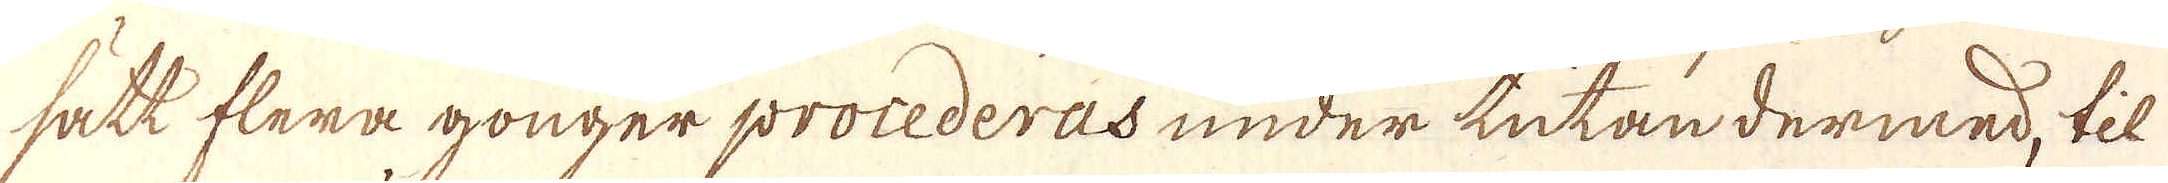sätt flera gonger procederas under tutan dermed, til
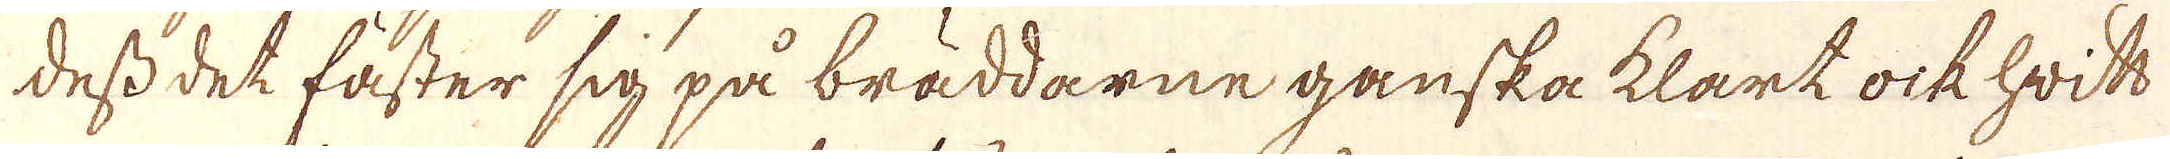dess det fäster sig på bräddarne ganska klart ock hwitt
